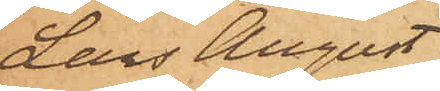Lars August
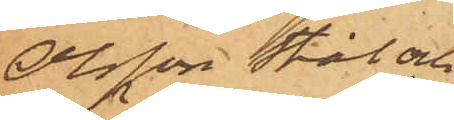Olsson Stål och
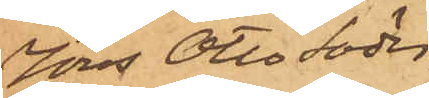Jöns Otto Söder¬
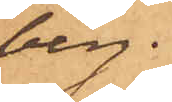berg.
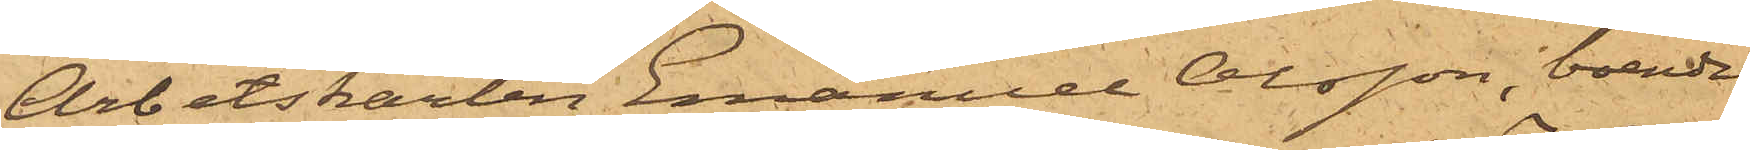Arbetskarlen Emanuel Olsson, boende
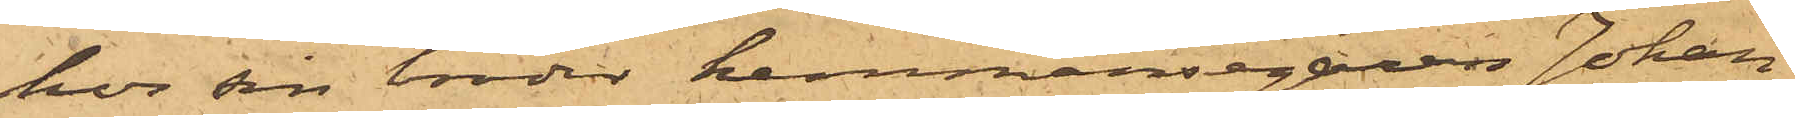hos sin broder hemmansegaren Johan
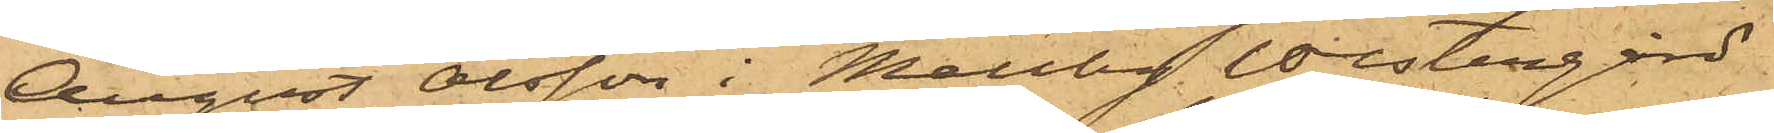August Olsson i Mellby Westergård
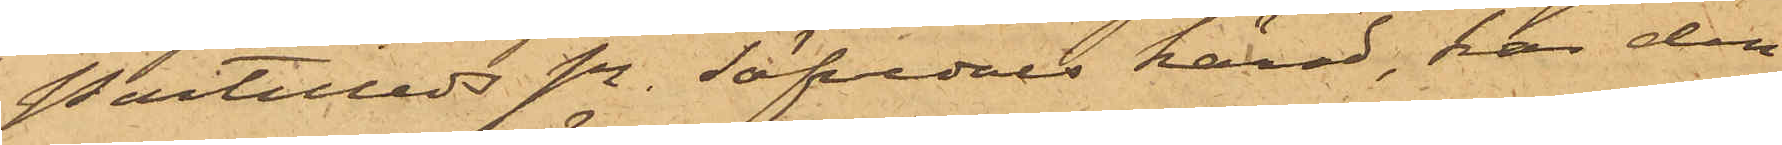Partilleds sn. Säfvedals härad, har den
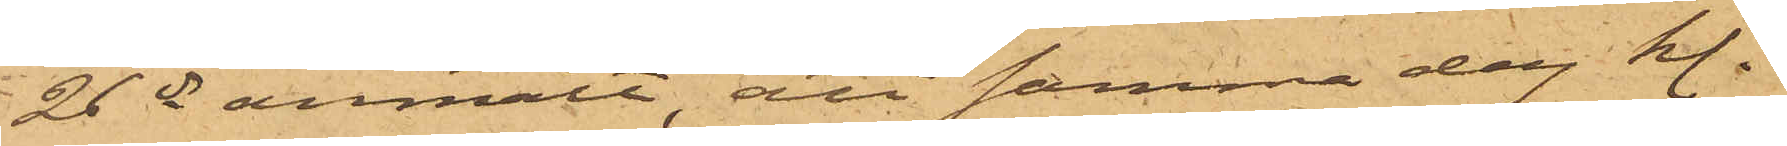26 ds anmält, att samma dag kl.
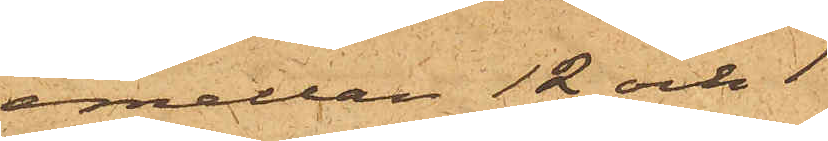emellan 12 och 1
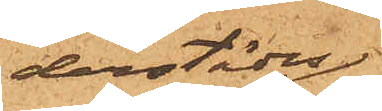derstädes
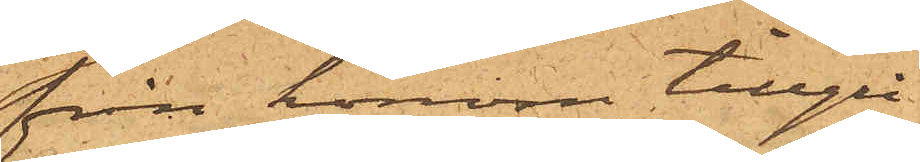från honom tillgri¬
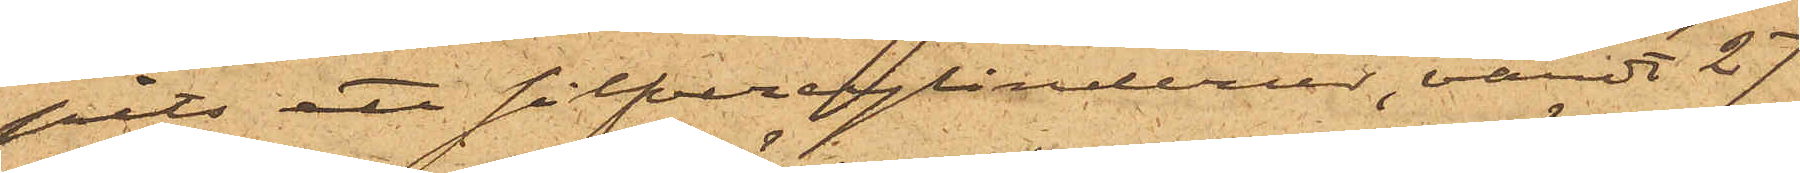pits ett silfvercylinderur, värdt 27
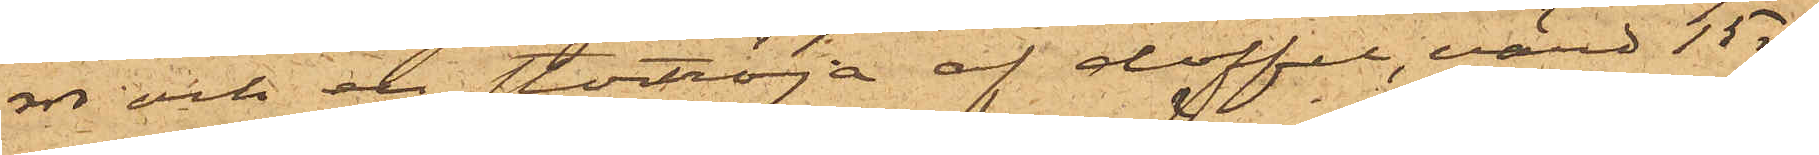rdr och en stortröja af doffel, värd 15 rdr;
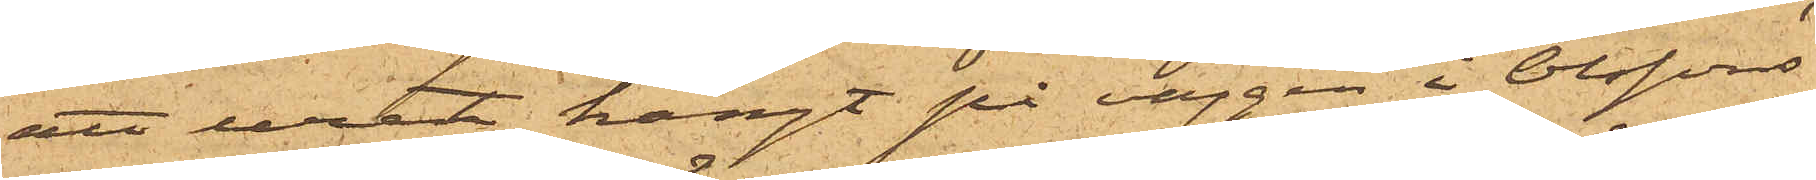att uret hängt på väggen i Olssons
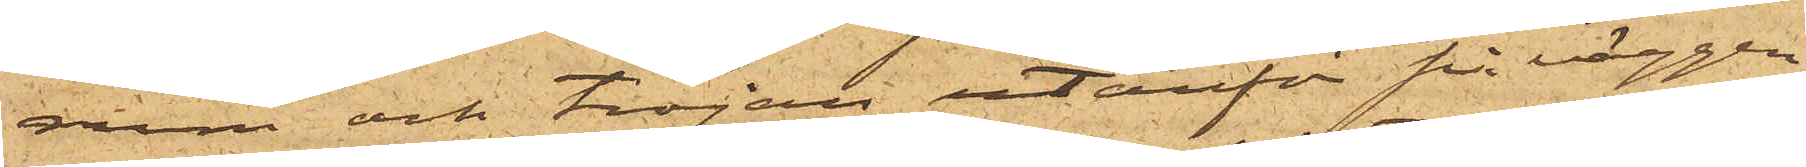rum och tröjan utanför på väggen
